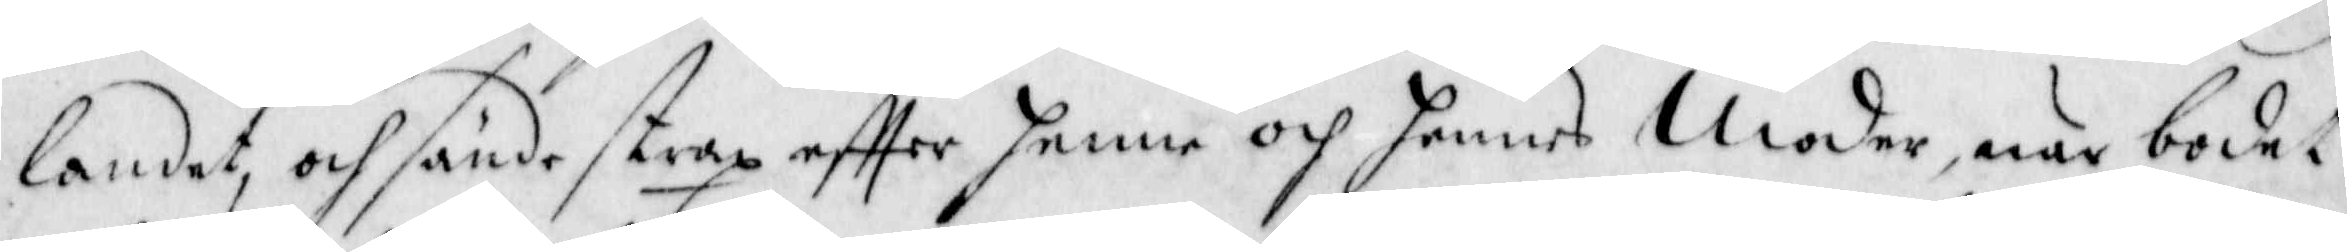landet, och sände straz effter henne och hennes Moder, när bodet
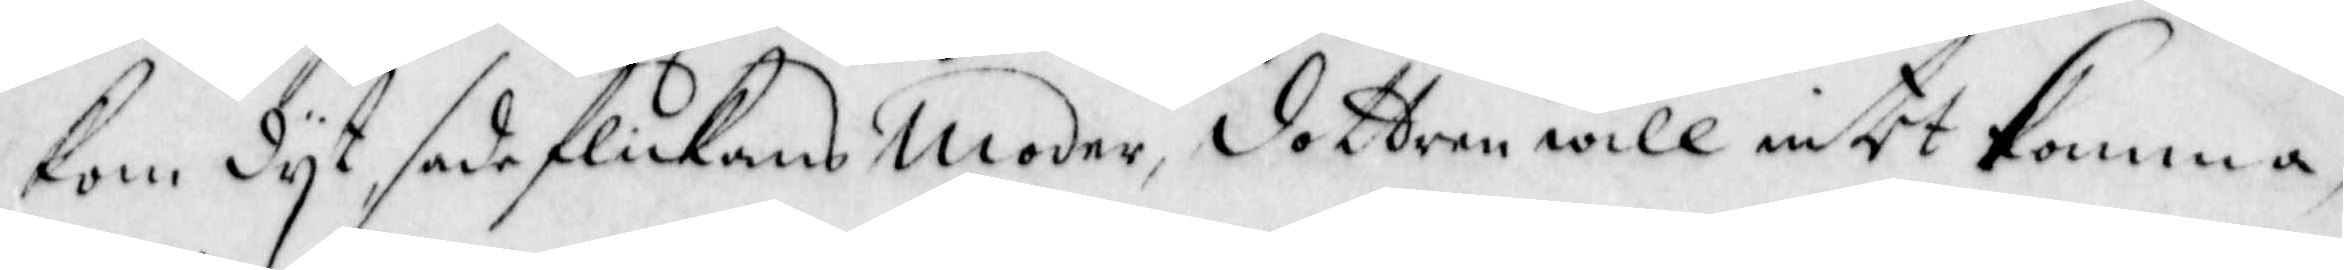kom dyt, sade flickans Moder, dottern will intet komma,
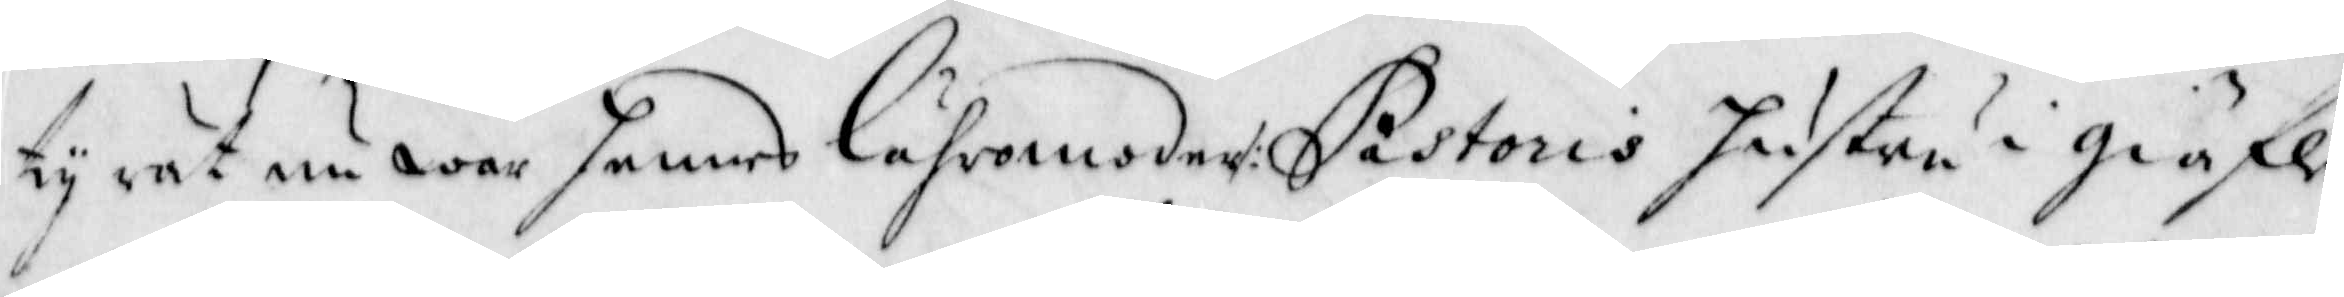ty rät nu war hennes lähromoder /: Pastoris hustru i Giäfle
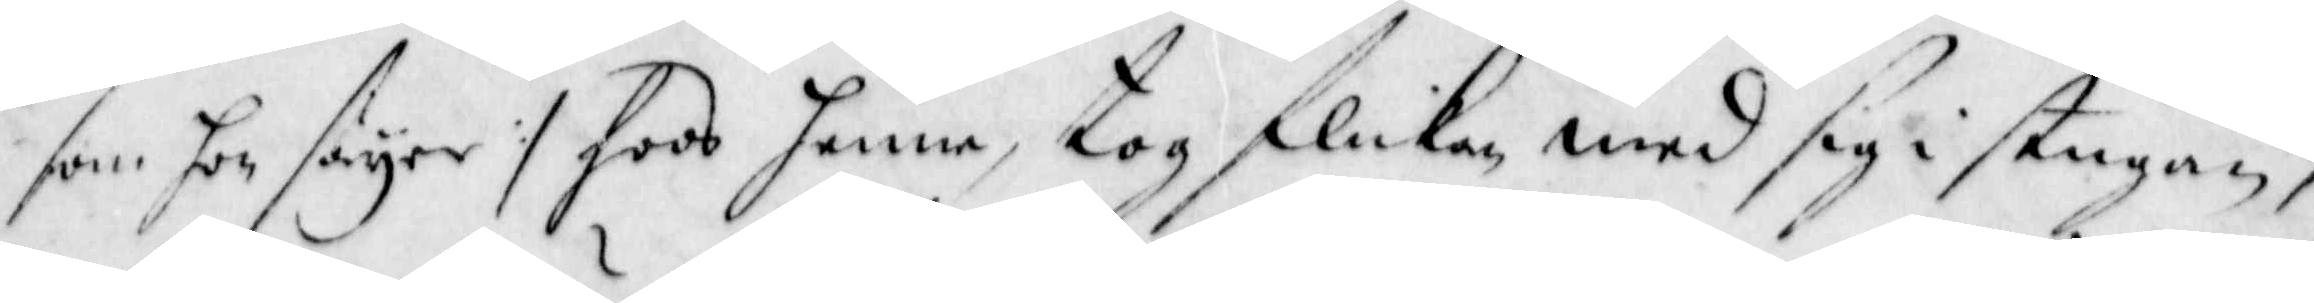som hon säyer :/ hoos henne, tog flickan med sig i stugan,
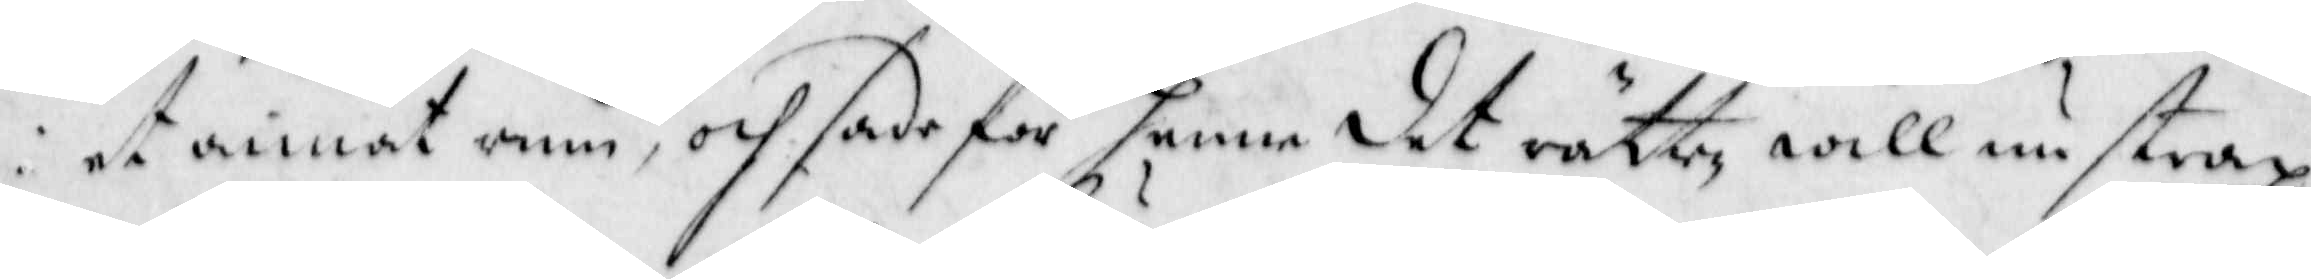eet annat rum, och sade för henne det rätten will nu strax
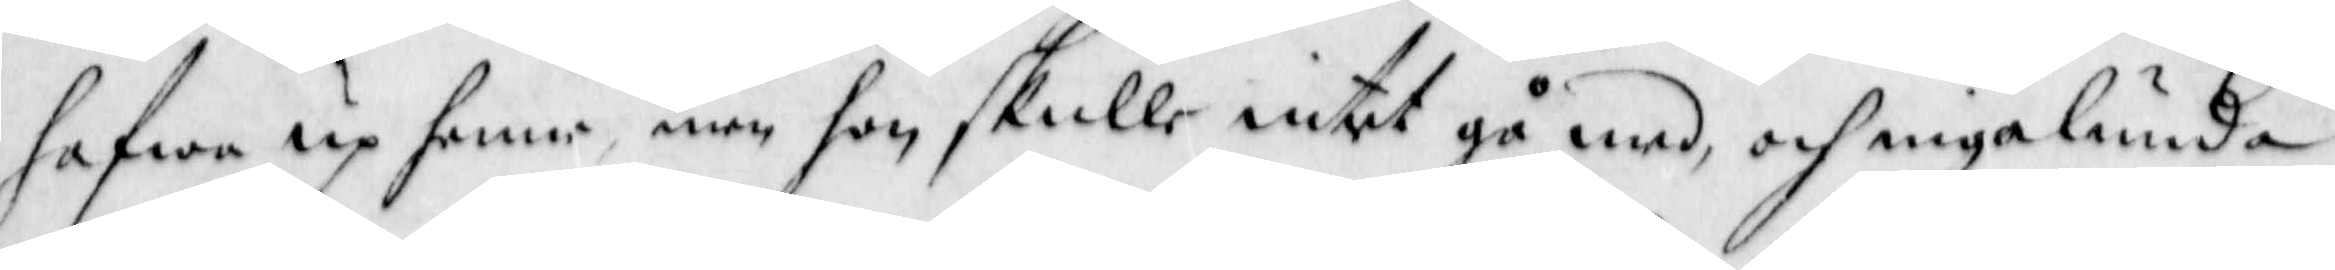hafwa up henne men hon skulle intet gå med, och ingalunda
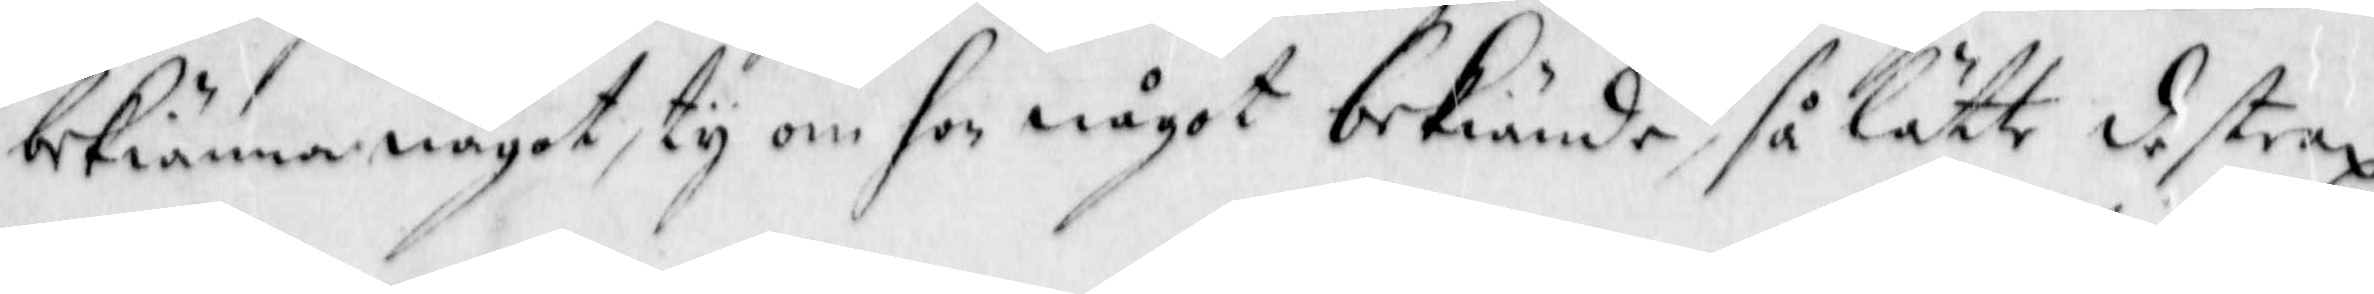bekiänna något, ty om hon något bekiände, så lätte de strax 
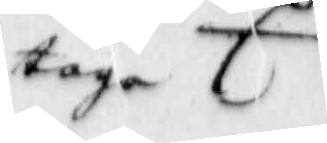taga
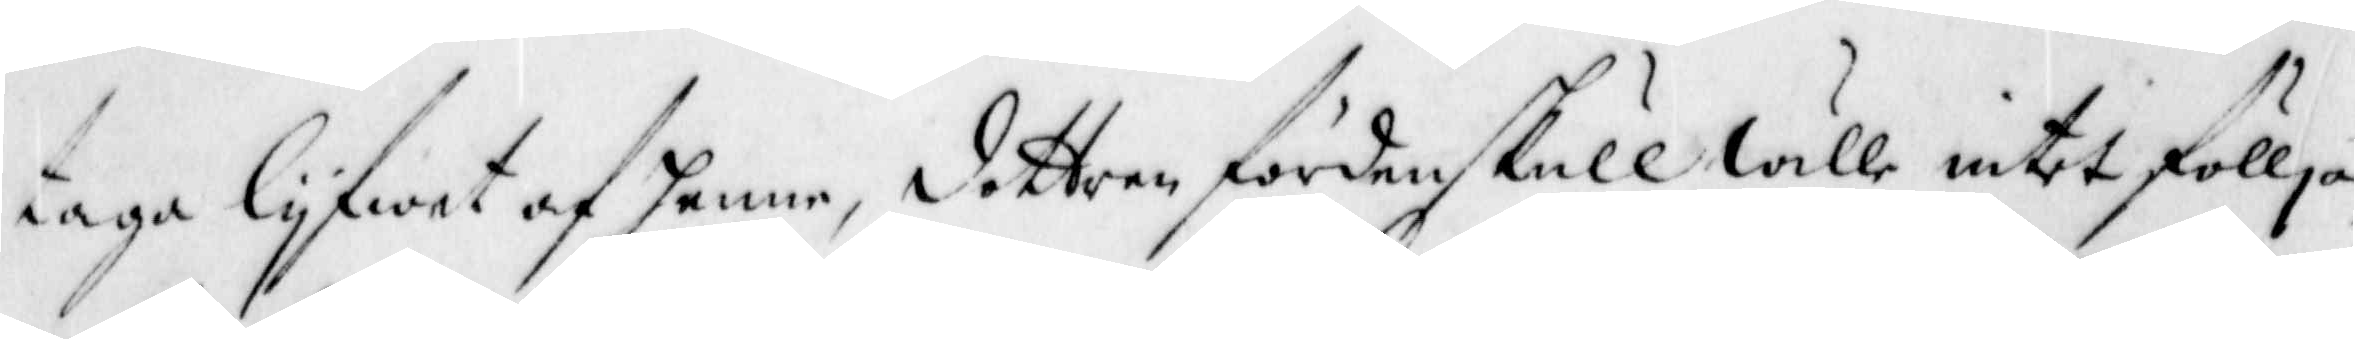taga lyfwet af henne, dottren fördenskull wille intet föllja
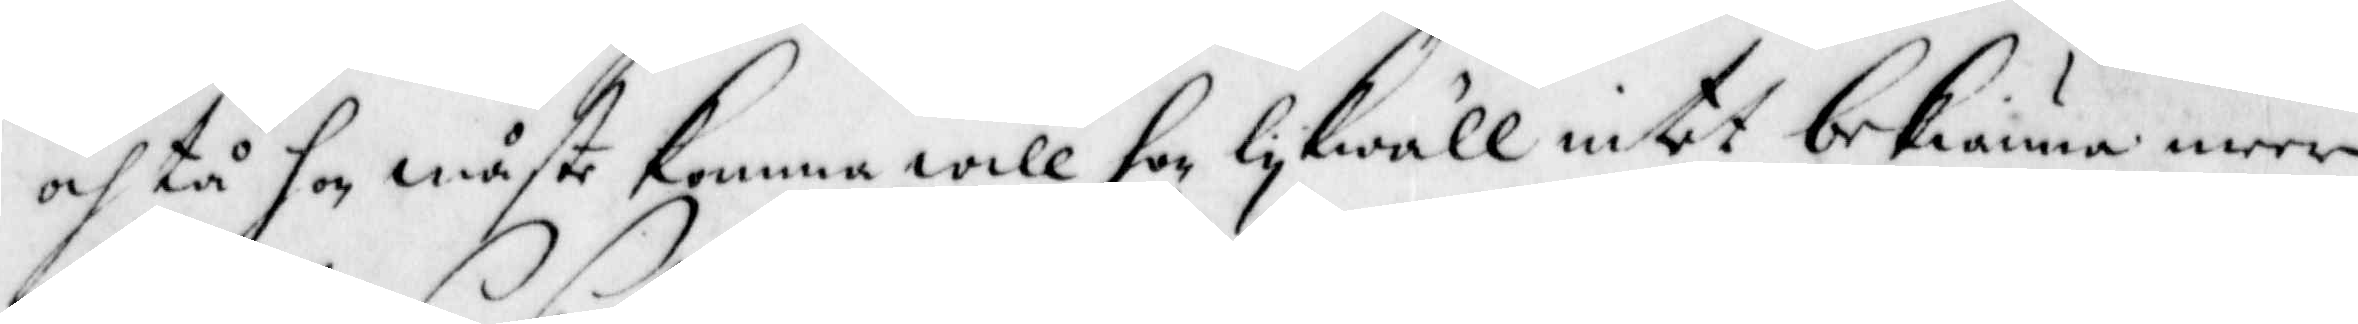och tå hon måste komma, will hon lykwäll intet bekiänna meer
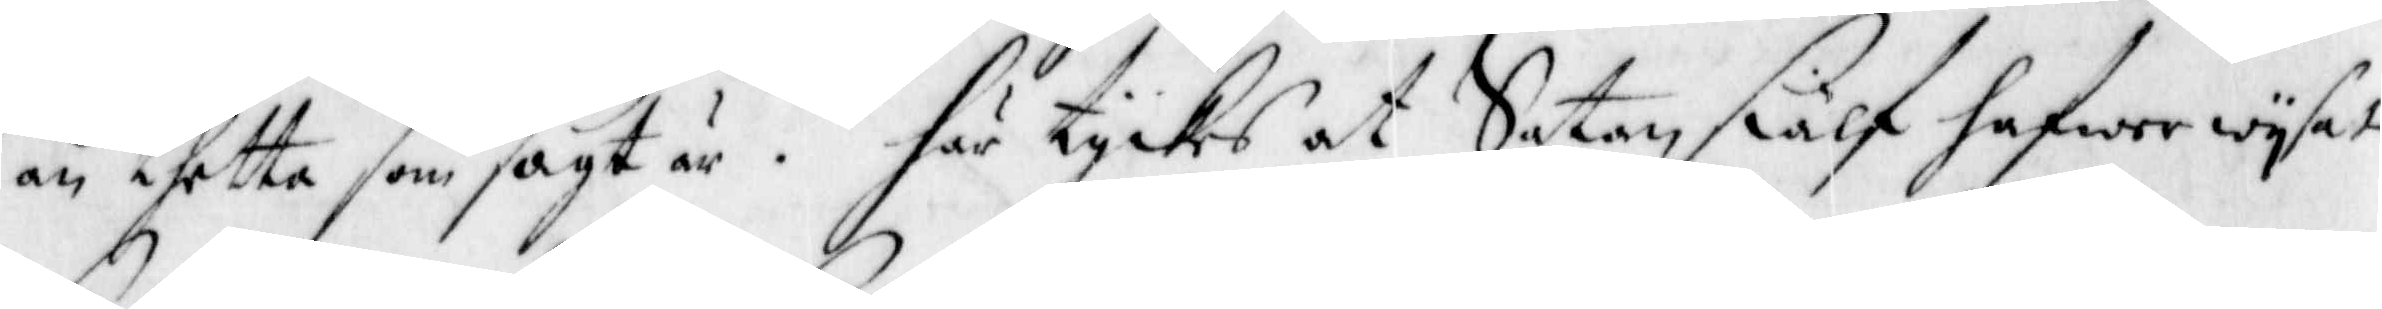än thetta som sagt är- Här tyckes at Satan siälf hafww wysat
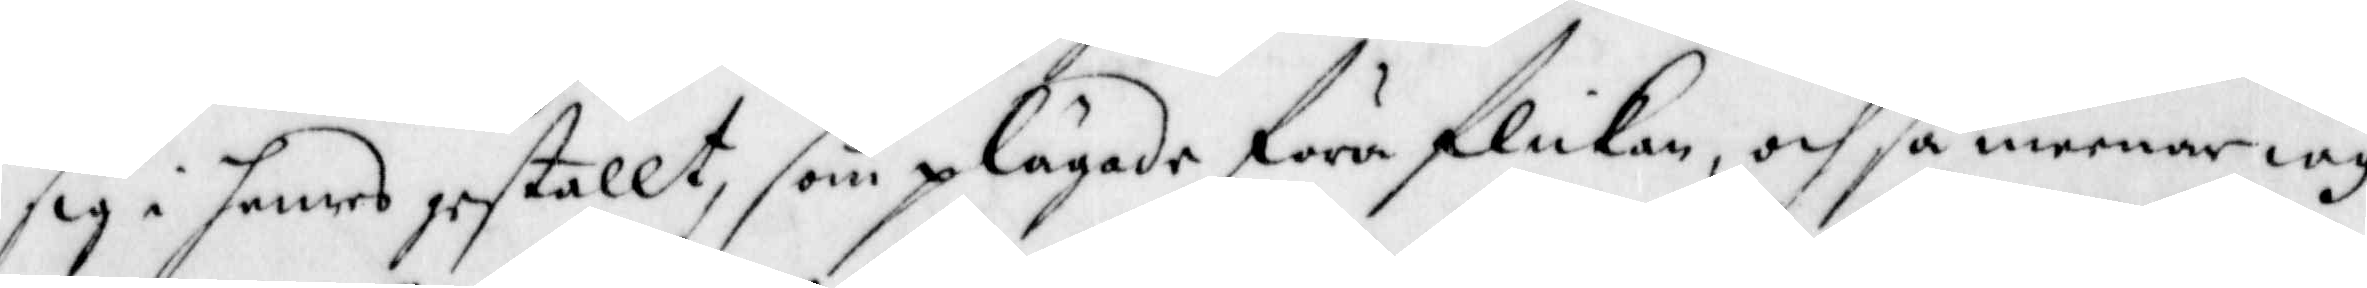sig i hennes gestallt, som plägade föra flickan, och så meenar iag
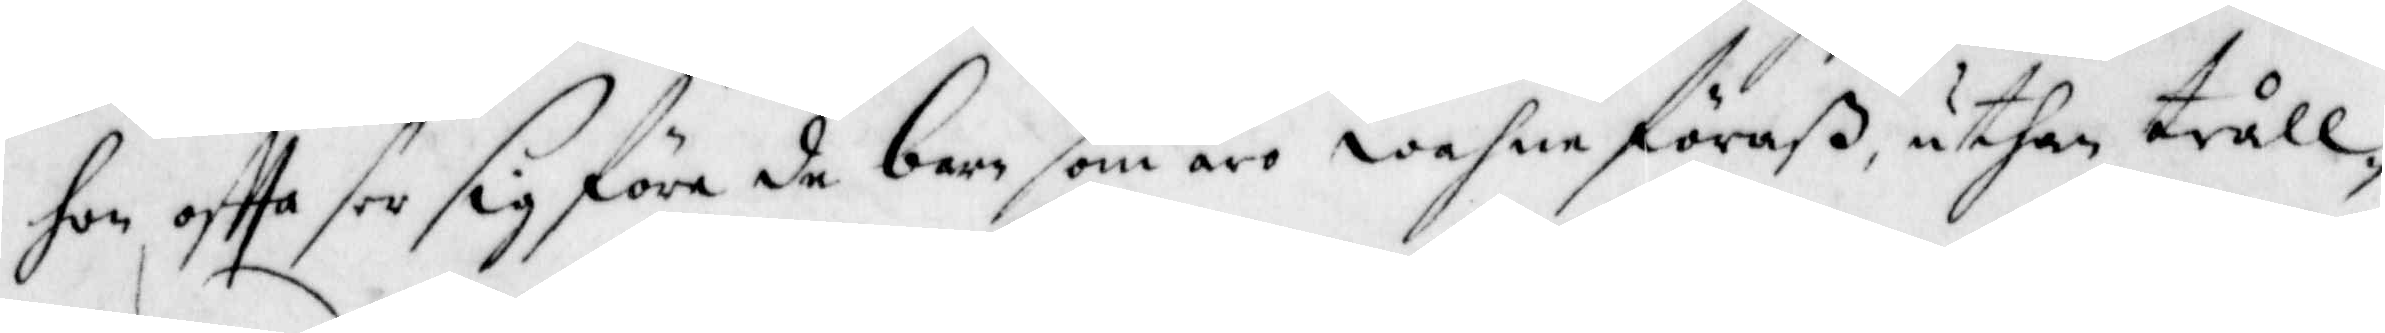hon offta see sig föra de barn som äro wahne föraß, uthan tråll¬
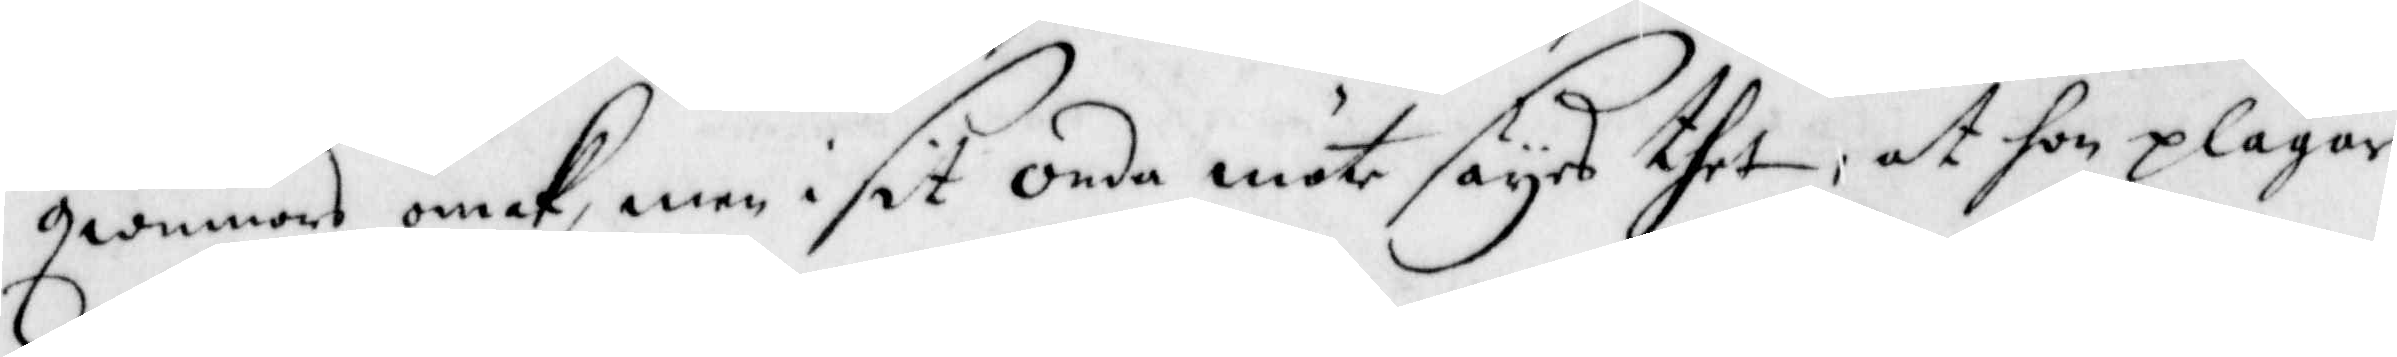qwinnors omak, men i sit onda möte sayes thet, at hon plägar
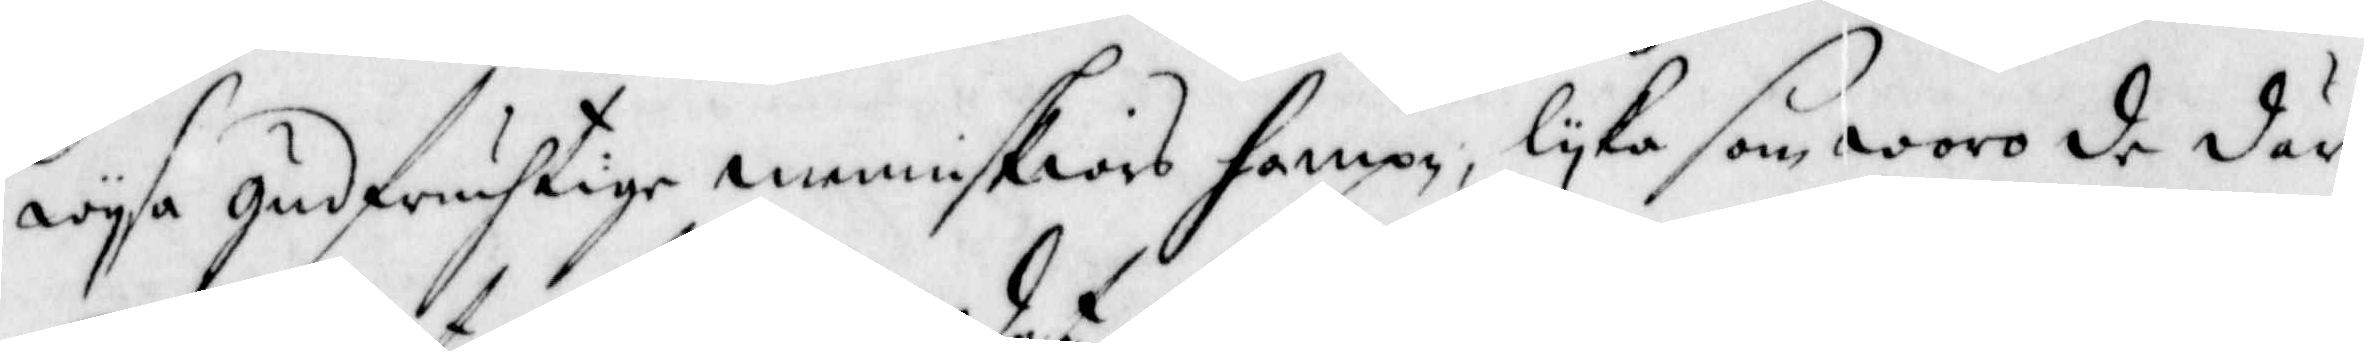wysa gudfruchtige menniskiors hampn, lyka som woro de där
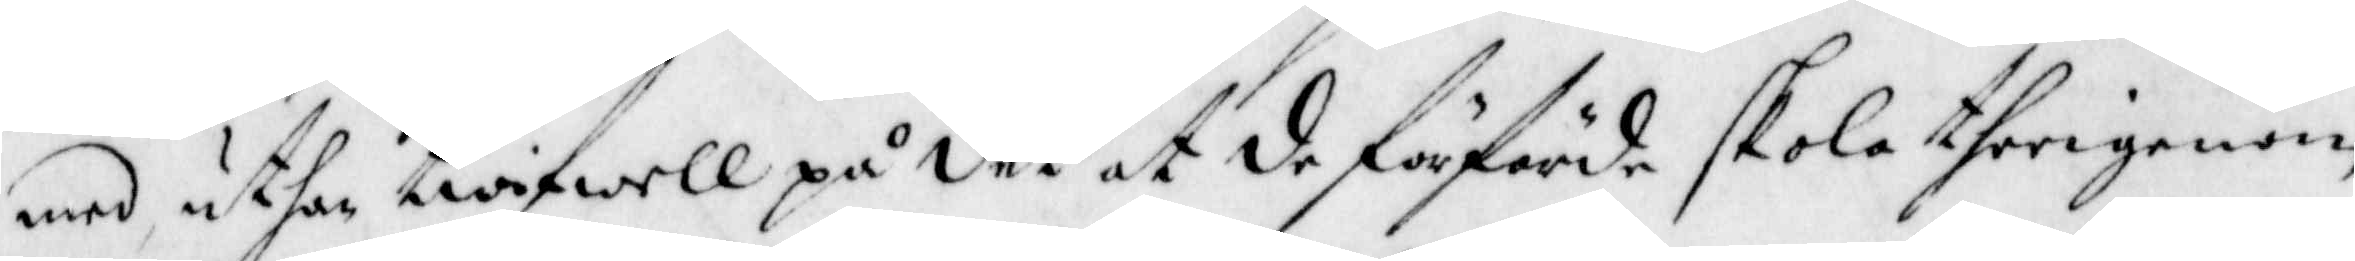med uthan twifwell på det at de förförde skola therigenom
